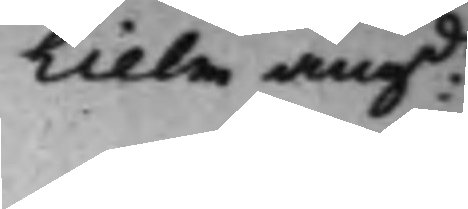hielm angde 
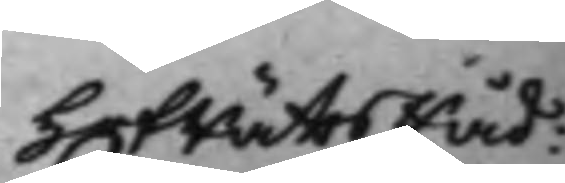HofrättsRåd:
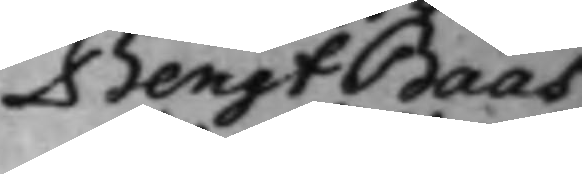Bengt Baas,
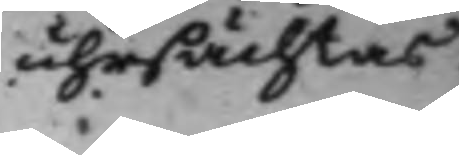uhrsächtas.
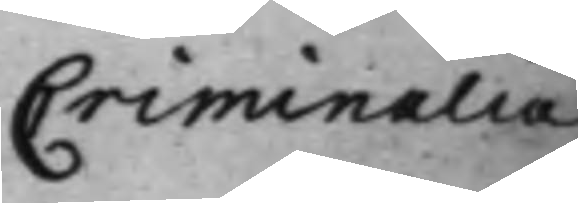Criminalia
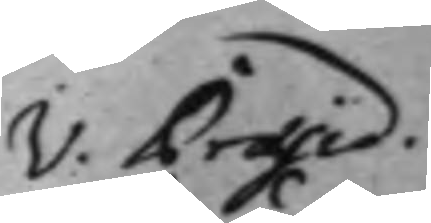 V. Præsid. 
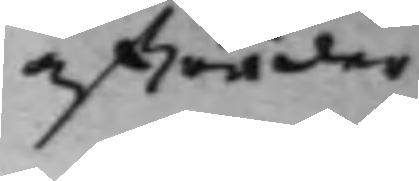afträder.
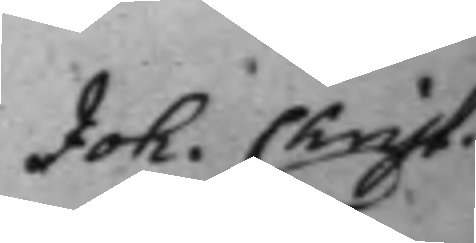Joh. Christ. 
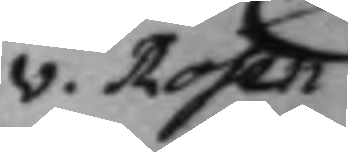v. Rosen
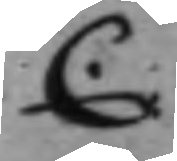C.
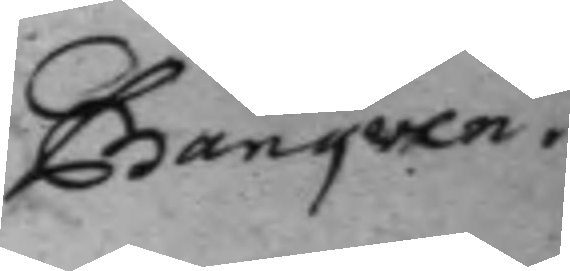Banquen.
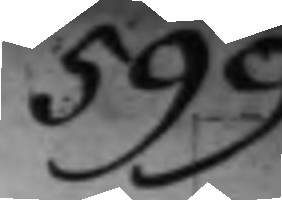599.
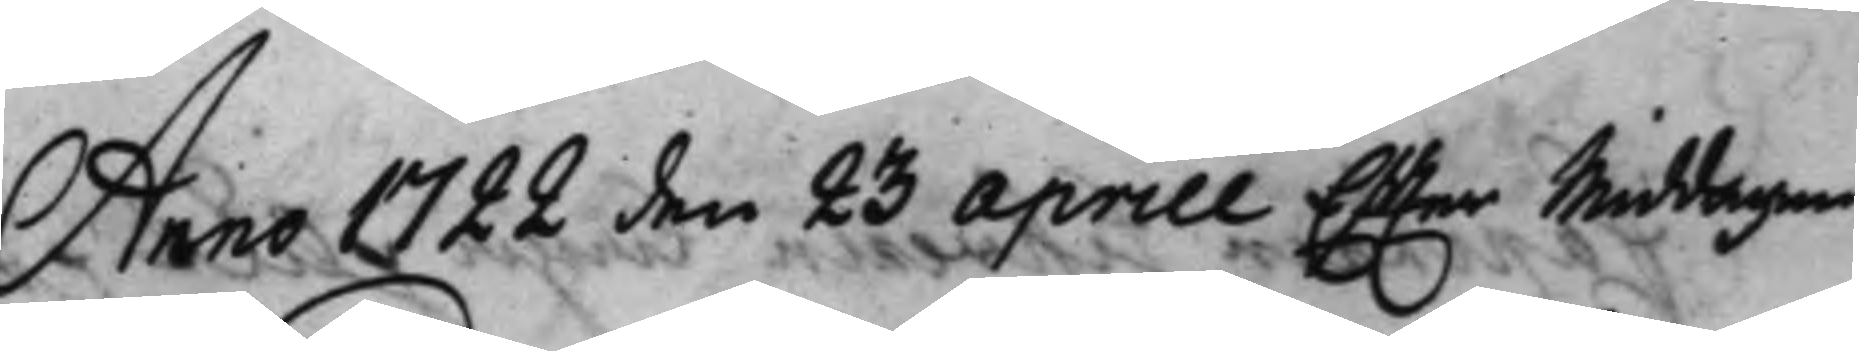Anno 1722 den 23 Aprill Effter Middagen
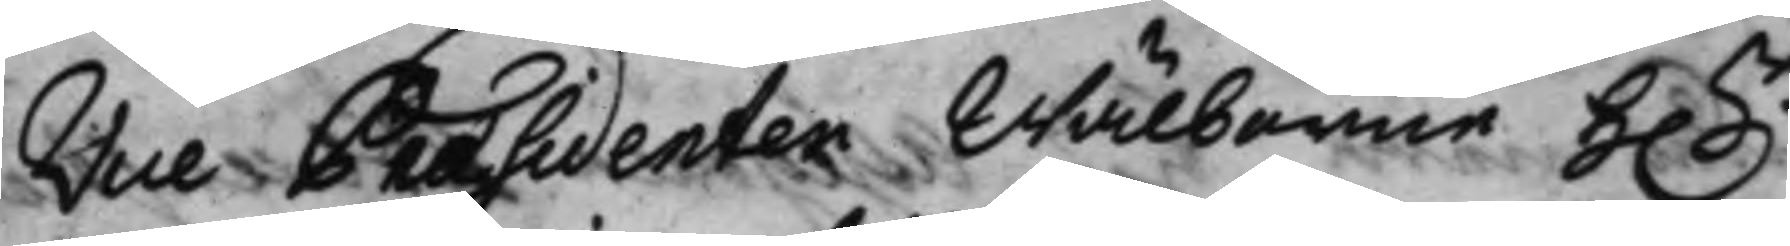Vice Præsidenten Wälborne h.r 
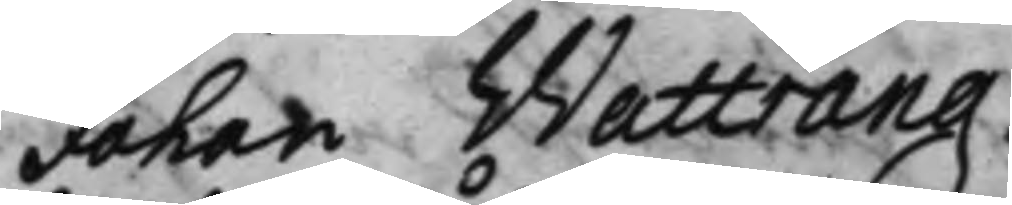Johan Wattrang.
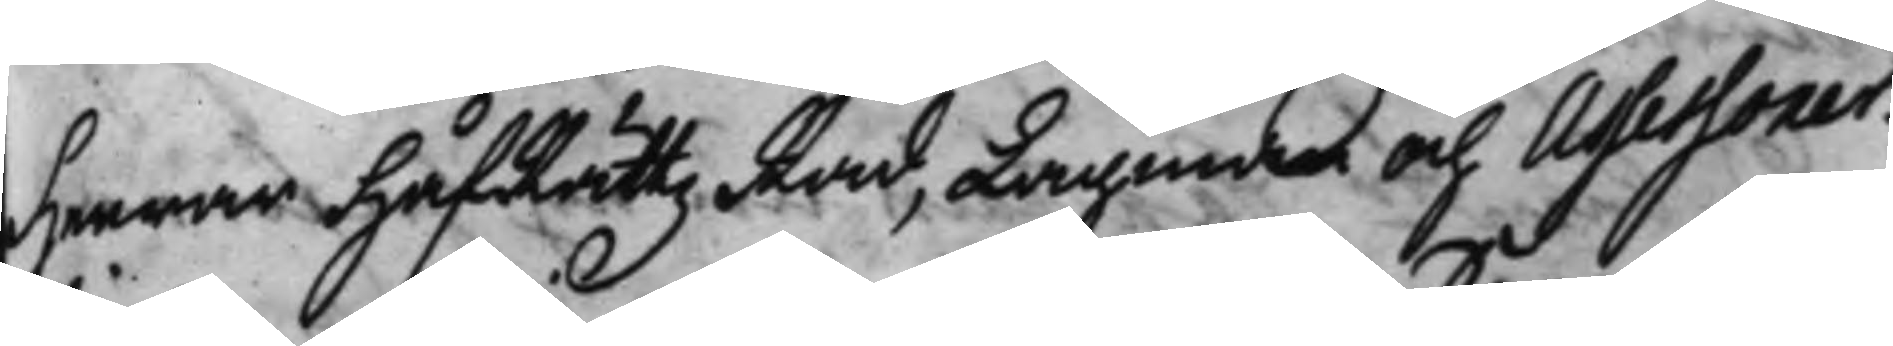Herrar HåffRättzRåd, Lagman och Assessorer.
